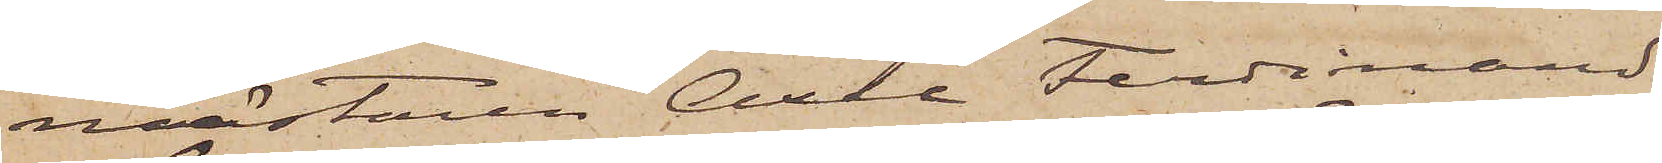mästaren Axel Ferdinand
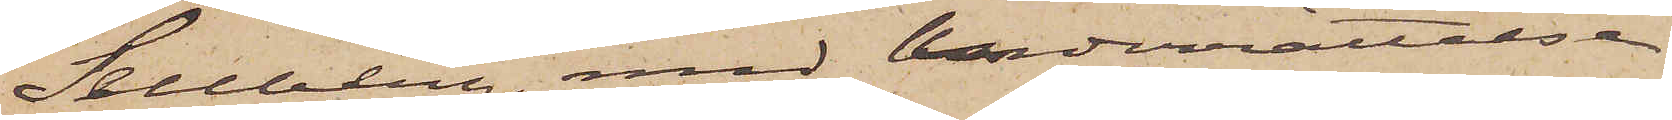Sellberg, med underrättelse
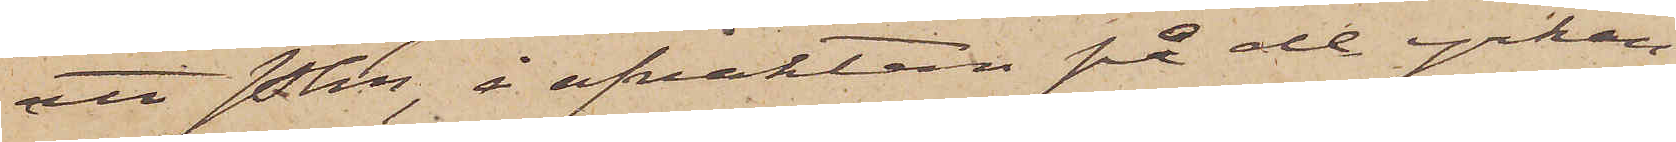att Pkn, i afvaktan på de yrkan¬
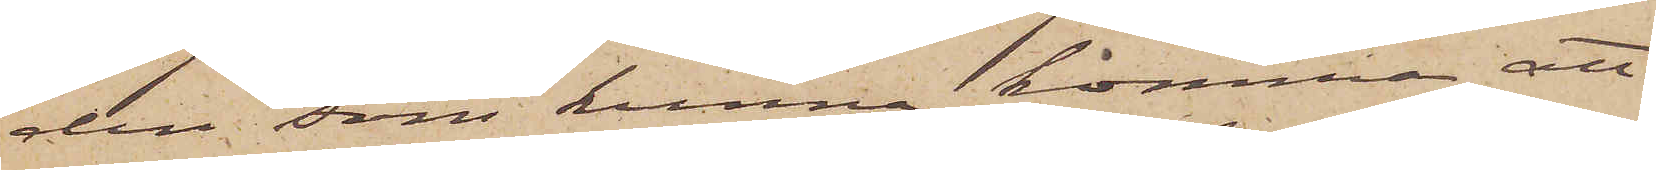den, som kunna komma att
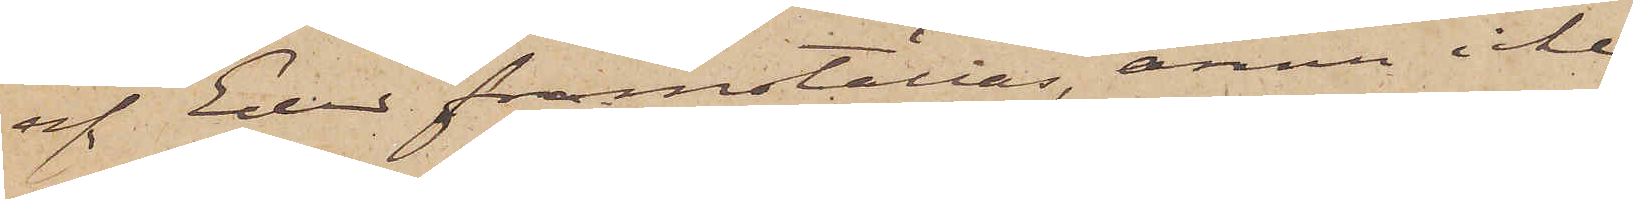af Eder framställas, ännu icke
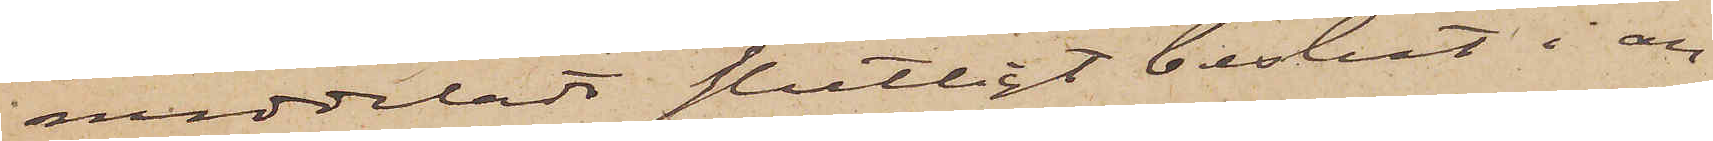meddeladt slutligt beslut i an¬
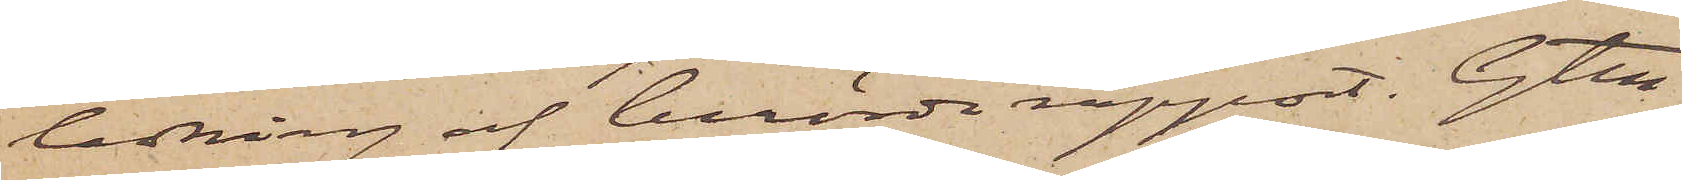ledning af berörda rapport. Gtbg
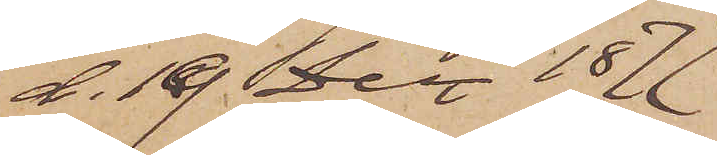d. 19. Dec. 1877.
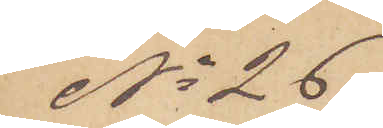No 26
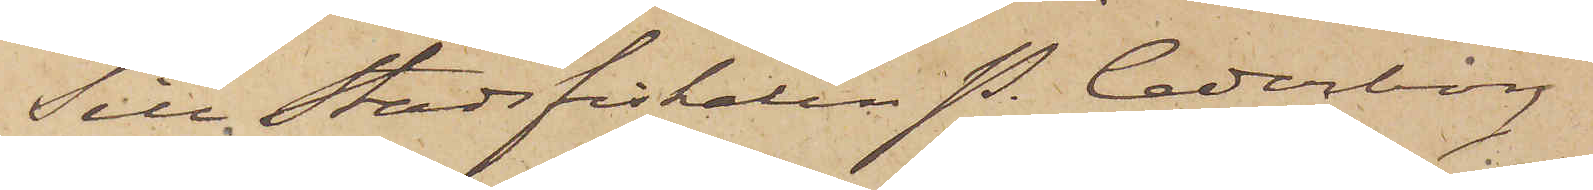Till Stadsfiskalen P. Cederborg
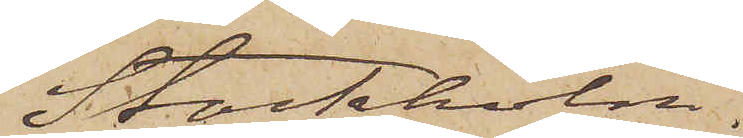Stockholm.
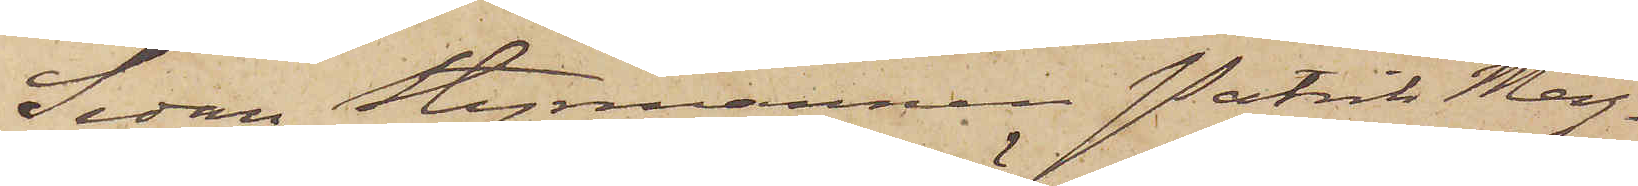Sedan Styrmannen Patrik Mag¬
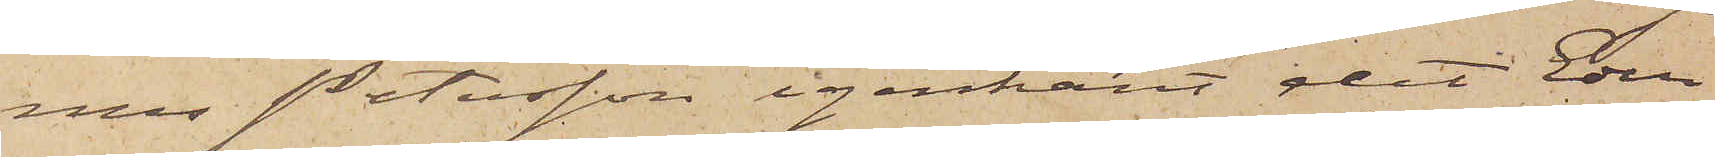nus Petersson igenkänt det Eder
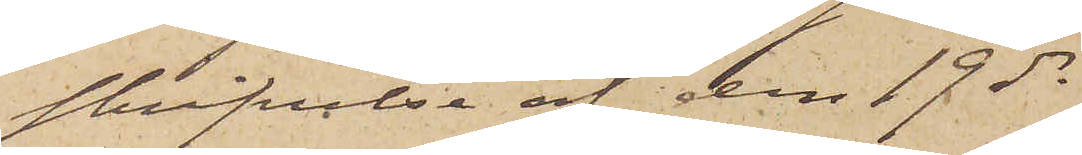skrifvelse af den 19 ds
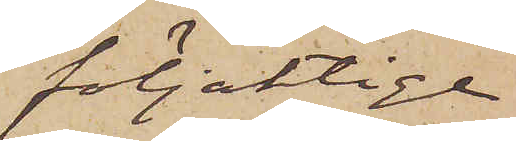följaktige
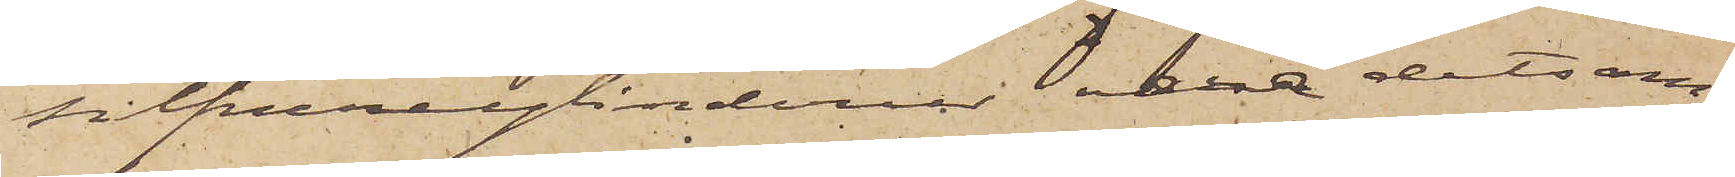silfvercylinderur vara detsam¬
